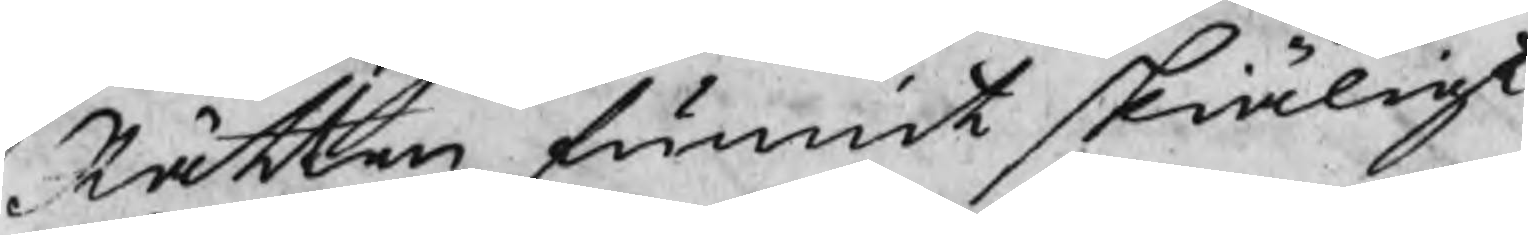Rätten funnit skiäligt
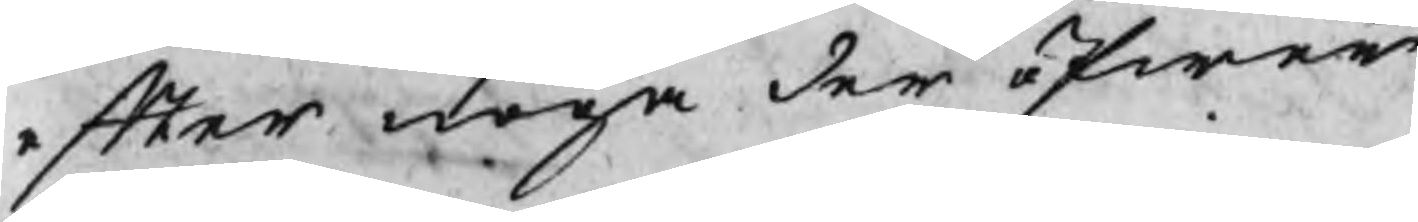efter noga der öfwer
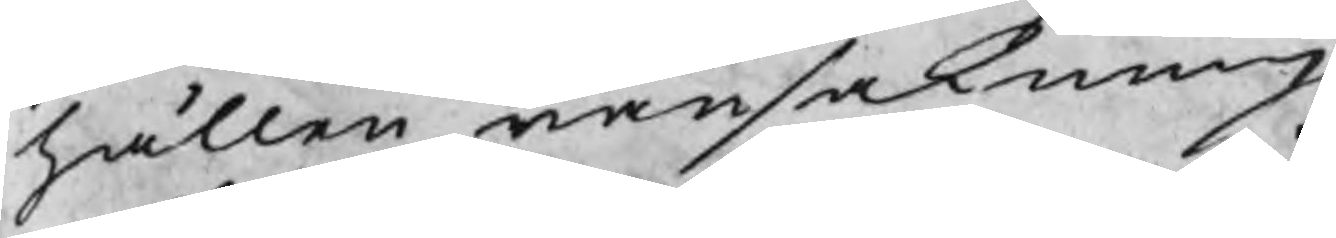hållen ransakning
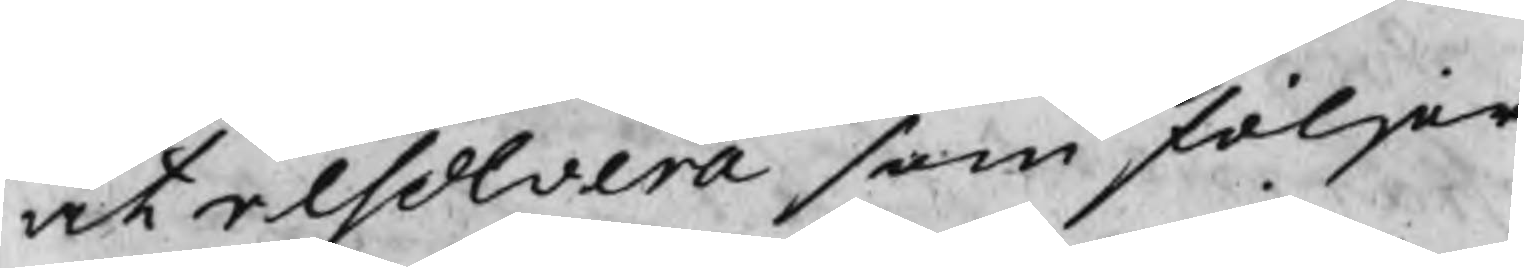at resolvera som följer
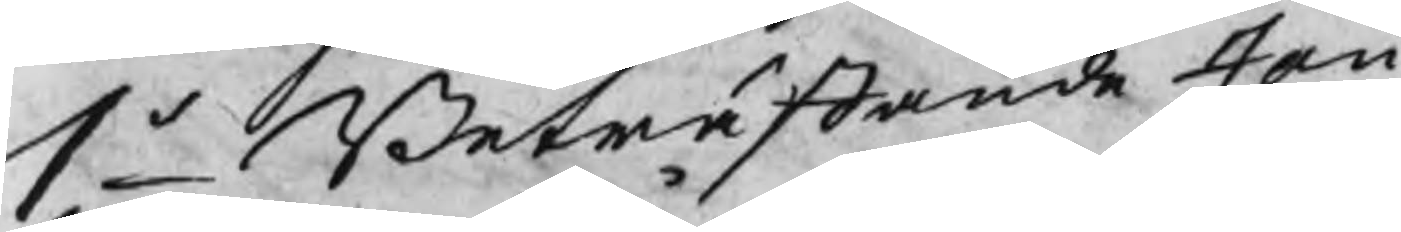1o Beträffande Jan
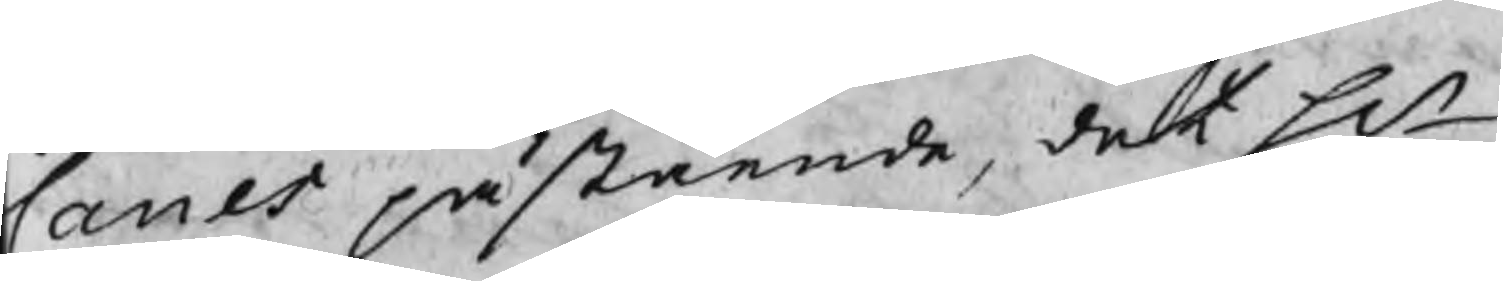Canes påstående, det Hr
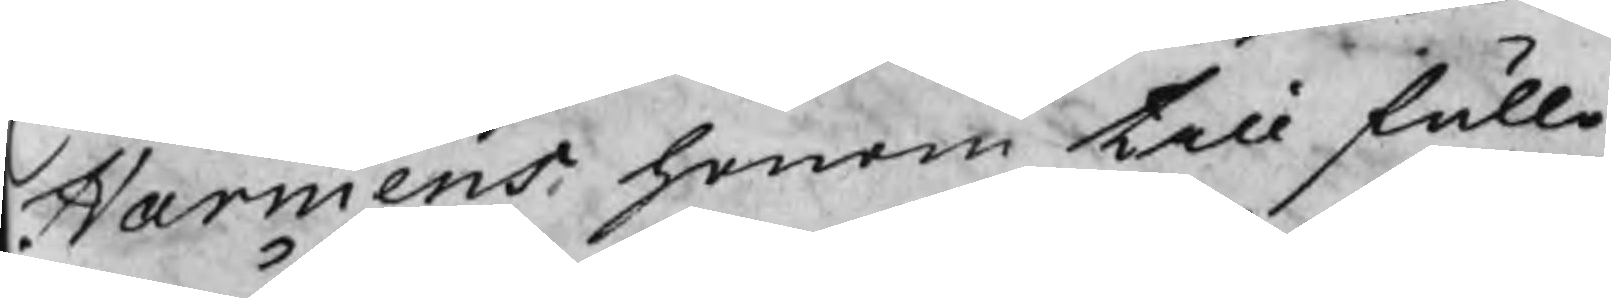Harmens honom till fullo
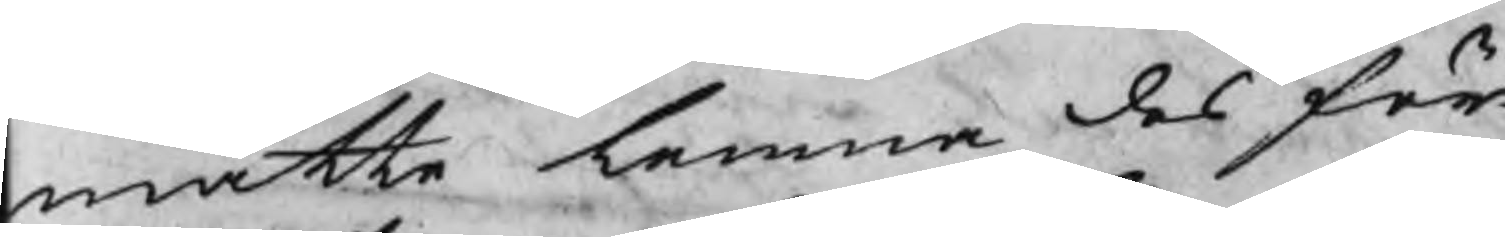måtte lemna des för
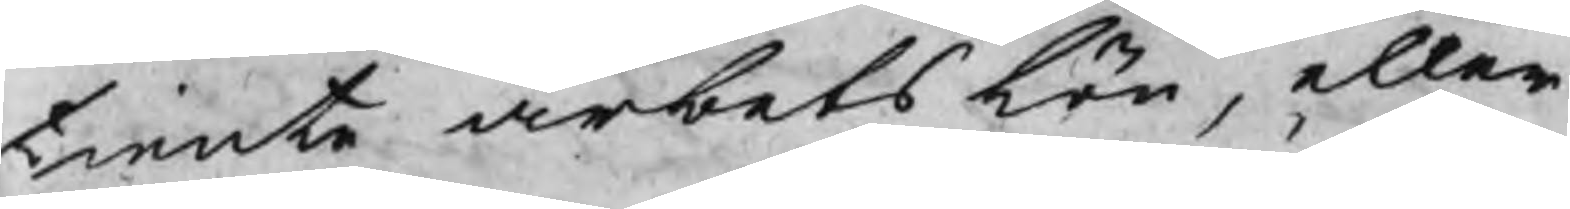tiente arbetslön, eller
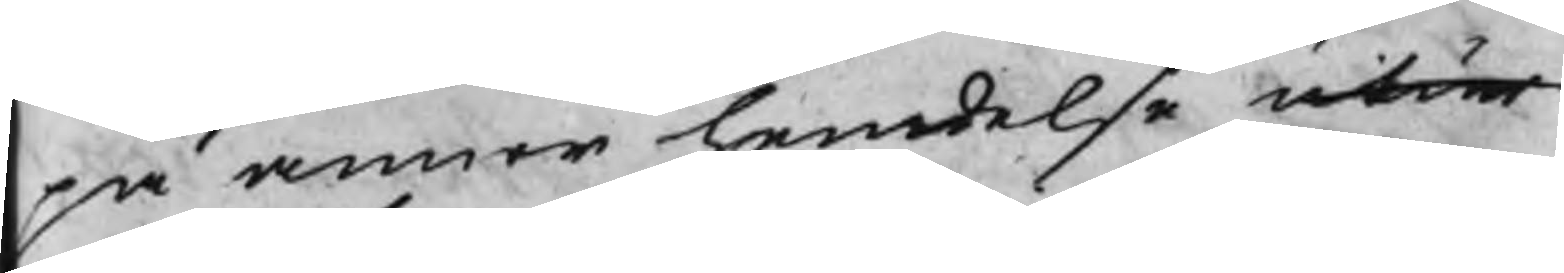på annor hendelse utur
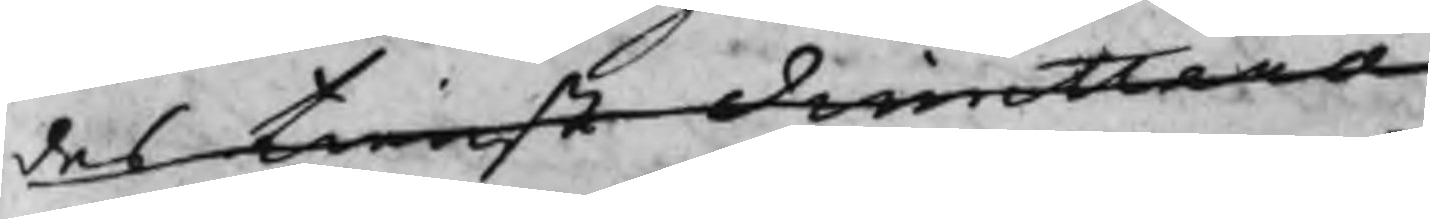des tienst dimittera
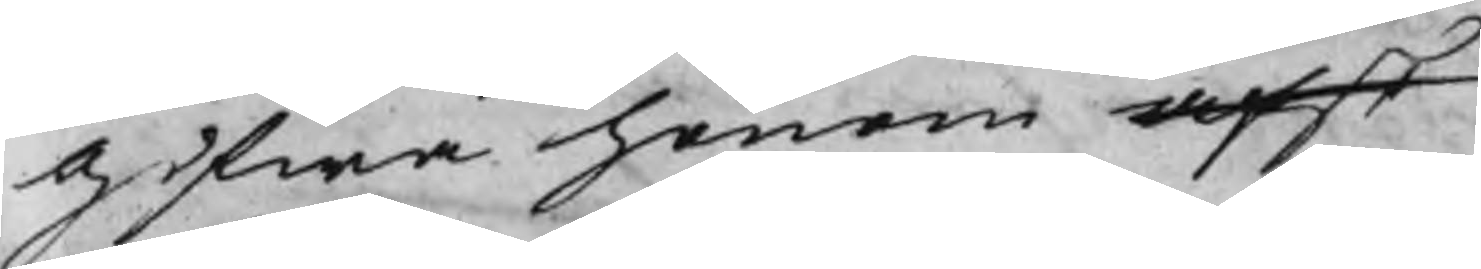gifwa honom afsk
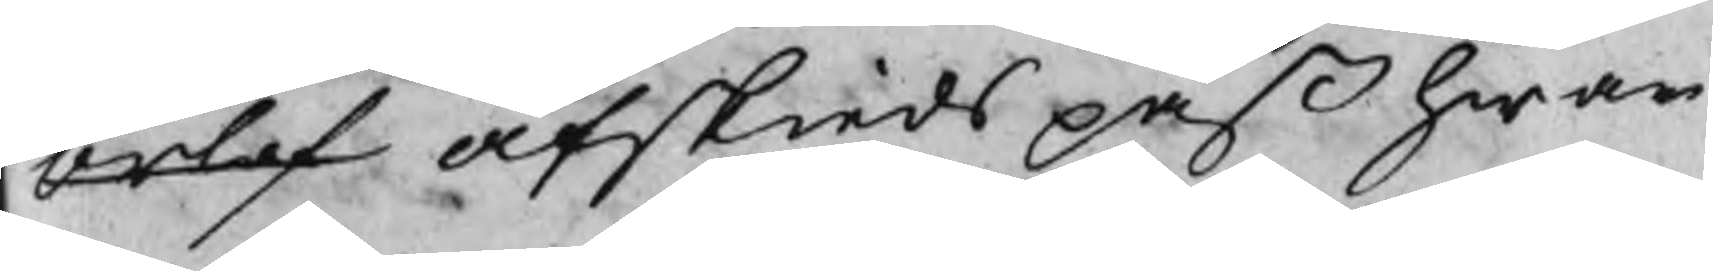orlof afskiedspaß hwar
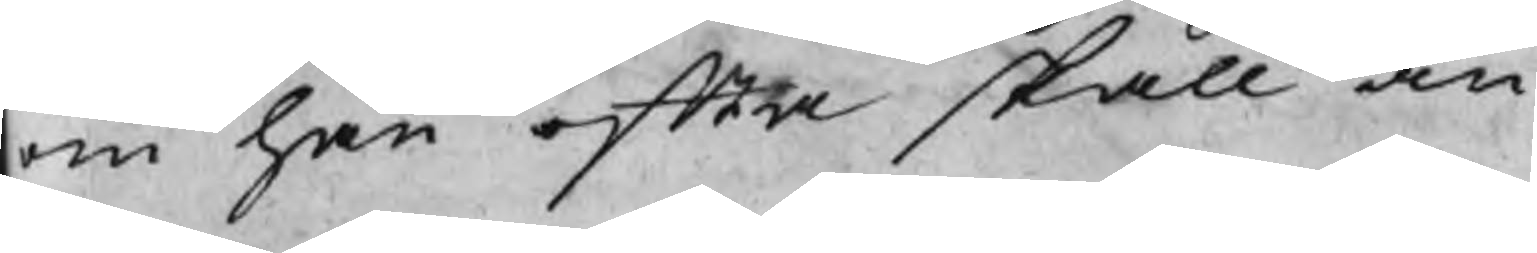om han ofta skall an
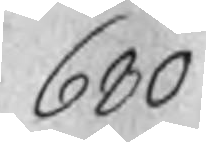680
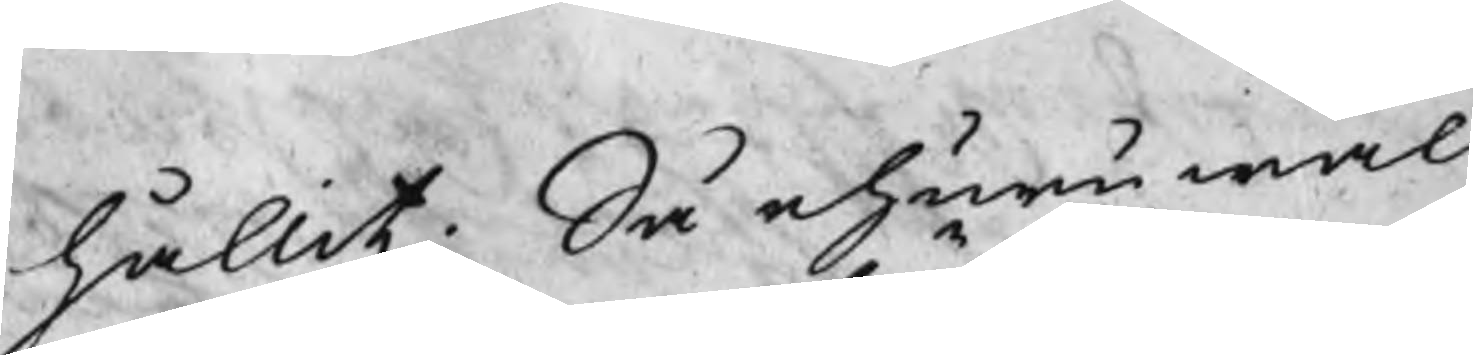hållit; Så ehuru wäl
